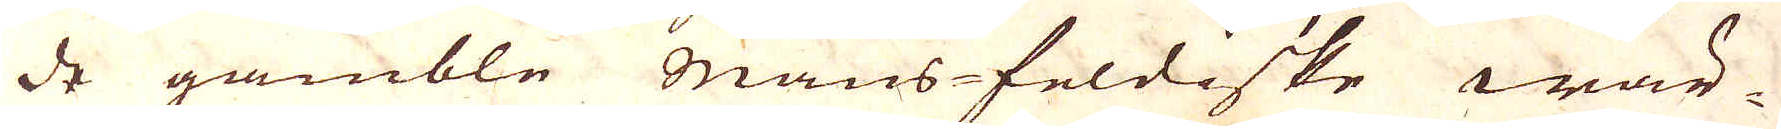de gamble mansfeldiske wär-
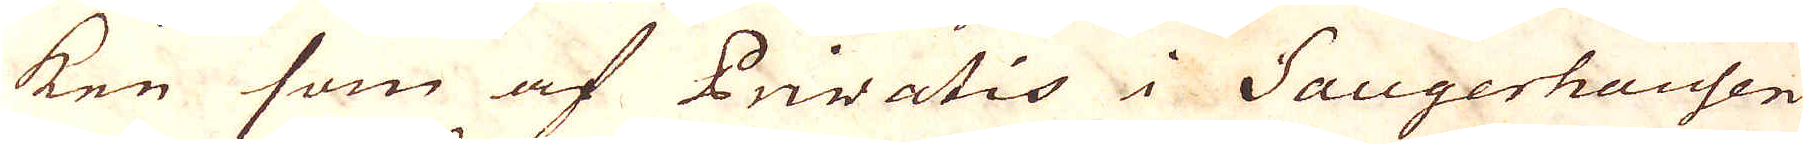ken som af Privatis i Saugerhausen
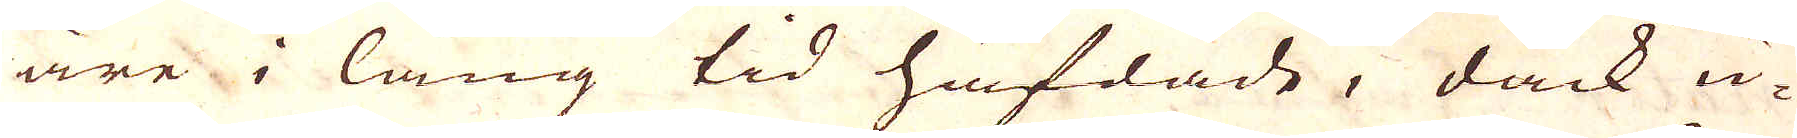äre i lång tid häfdade, dåck u-
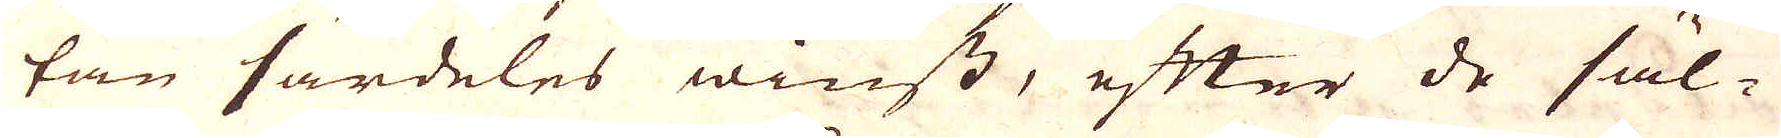tan särdeles winst, efter de säl-
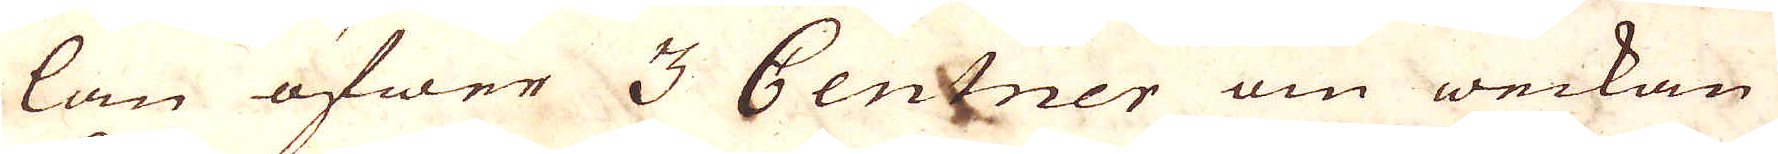lan öfwer 3 Centner om weckan
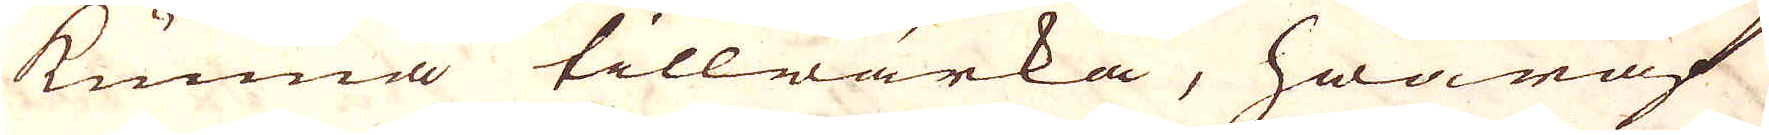kunna tillwärka, hwaraf
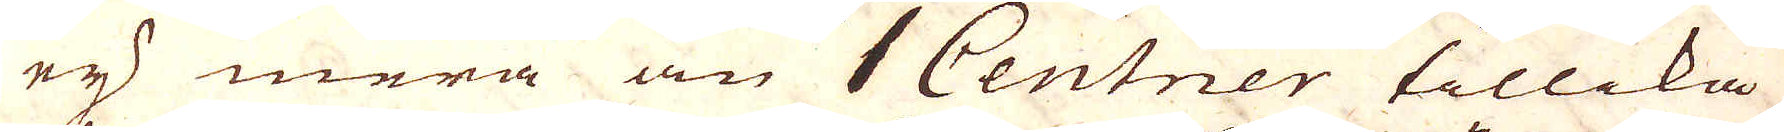ej mera än 1 Centner tillika
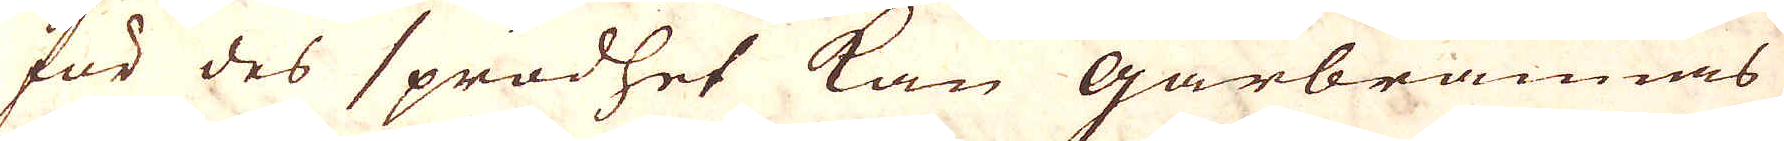för des sprödhet kan gårbrännas
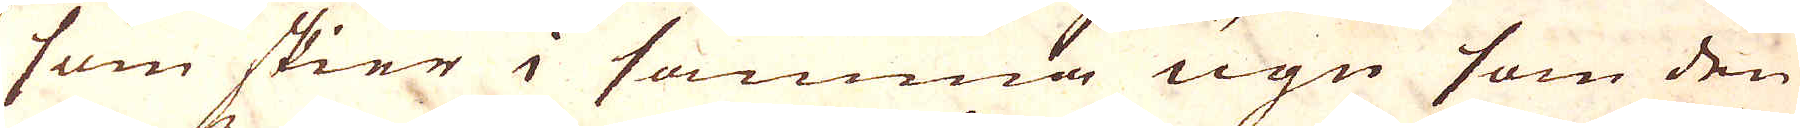som skier i samma ugn som den
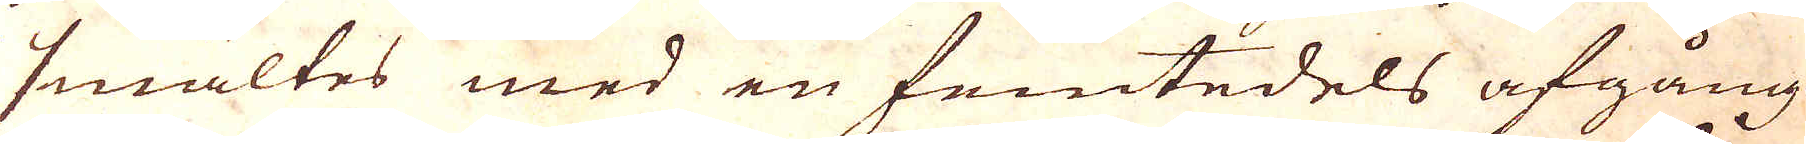smältes med en femtedels afgång.
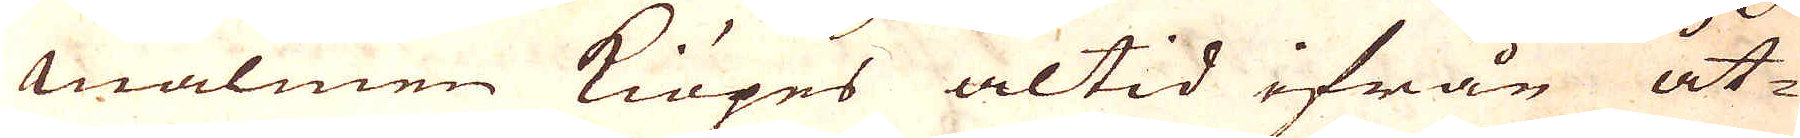Malmen kiöpes altid ifrån åt-
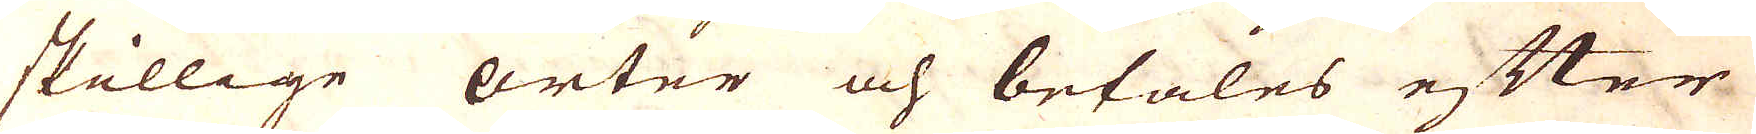skillige orter och betales efter
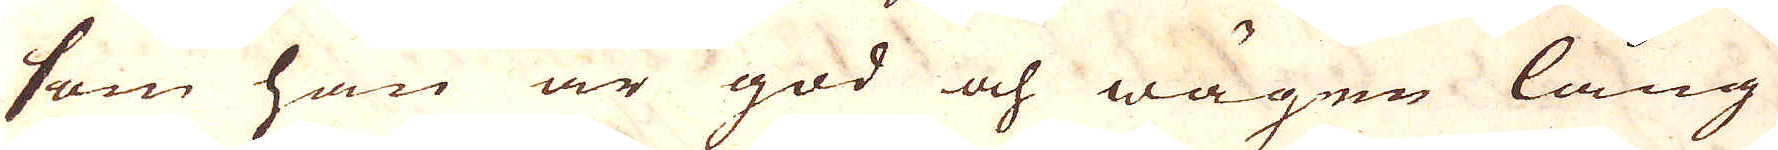som han är god och wägen lång
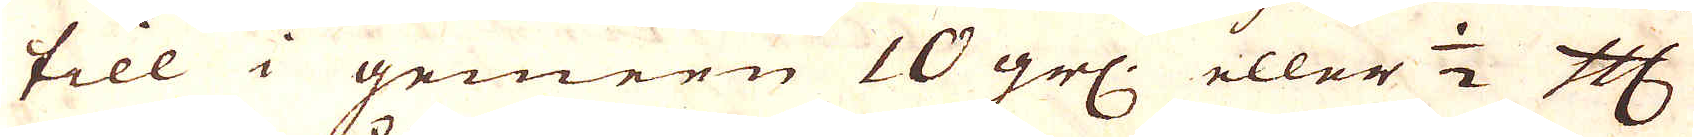till i gemern 10 grl: eller 1/2 Cologne Mark
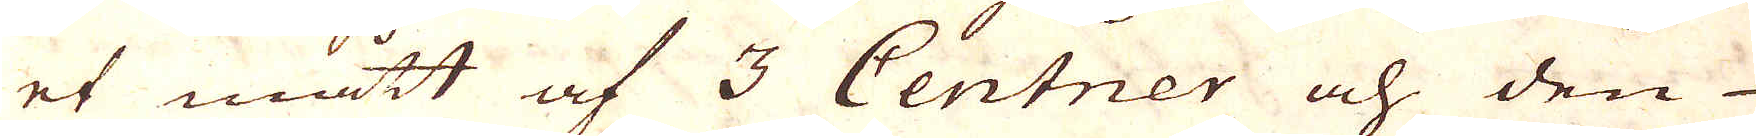et mått af 3 Centner och den
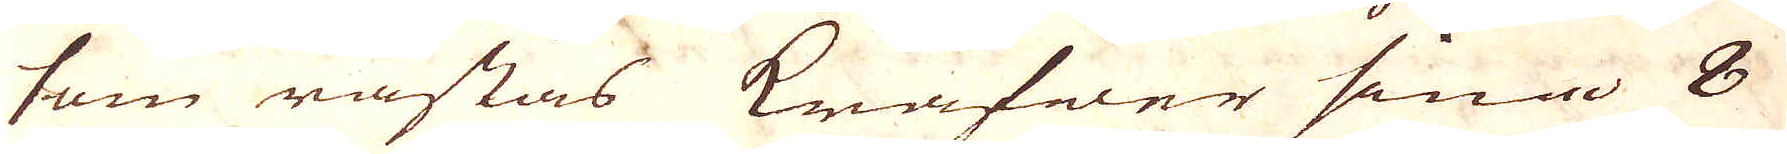som råstas Kräfver sina 8
